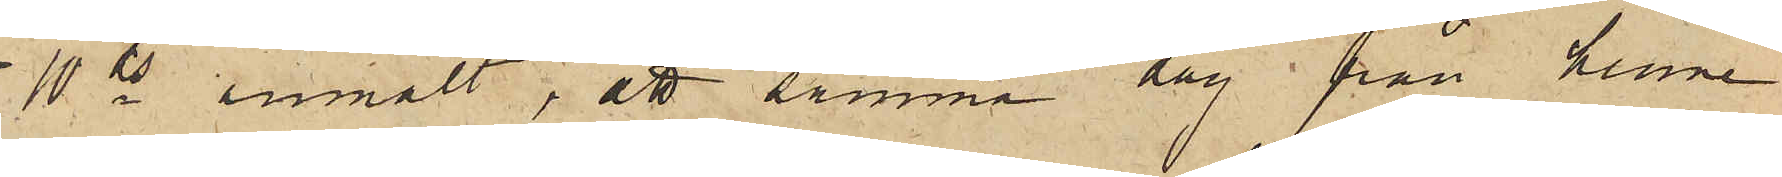10 ds anmält, att samma dag från henne
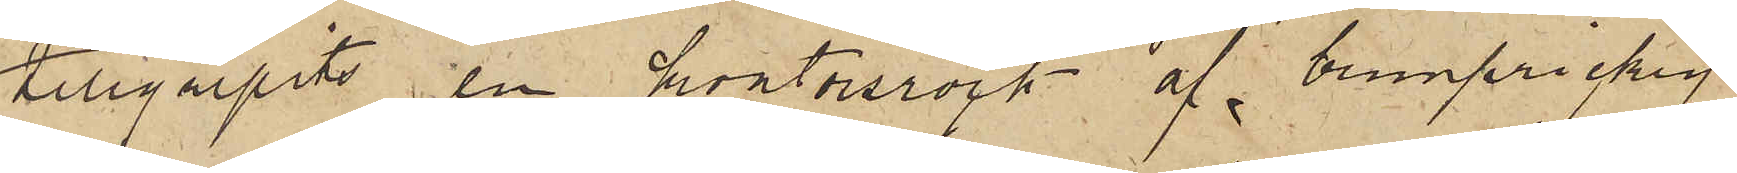tillgripits en kontorsrock af brunprickig
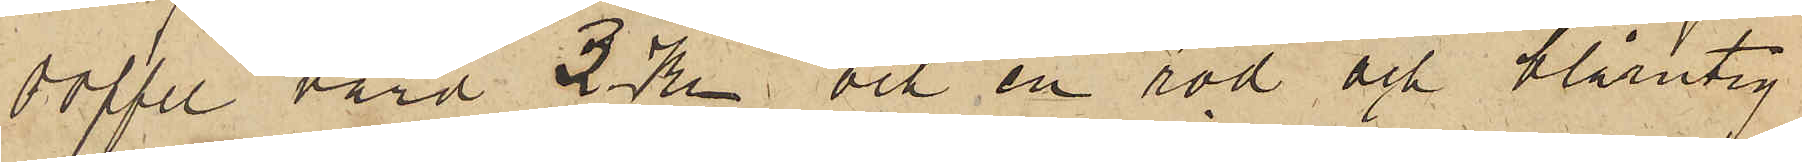doffel, värd 3 Kr och en röd och blårutig
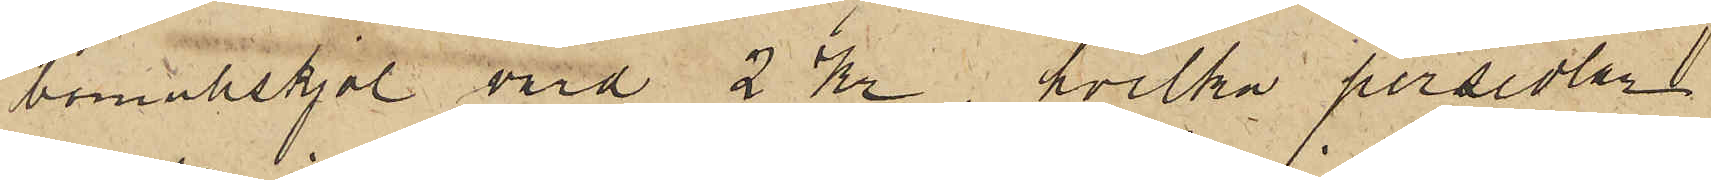bomullskjol värd 2 Kr, hvilka persedlar
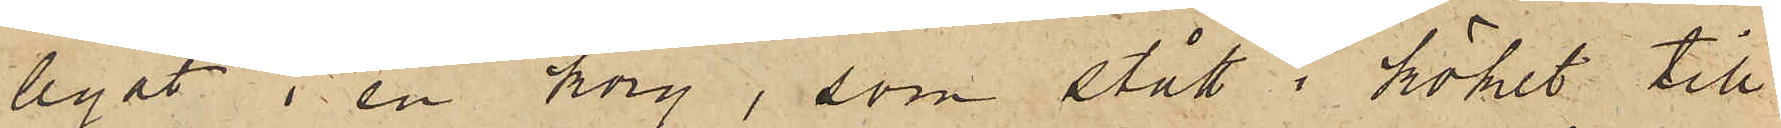legat i en korg, som stått i köket till
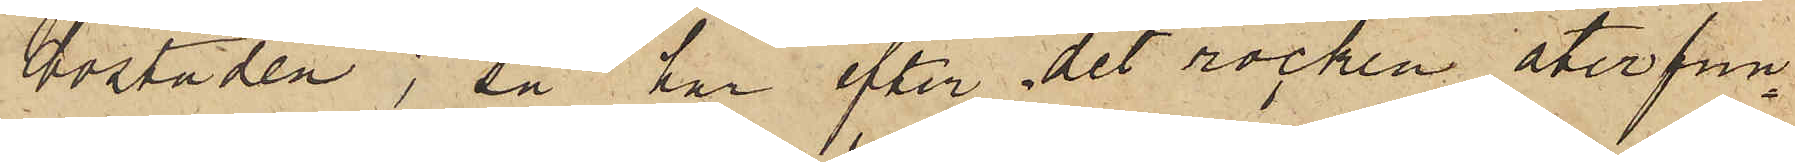bostaden; så har efter det rocken återfun¬
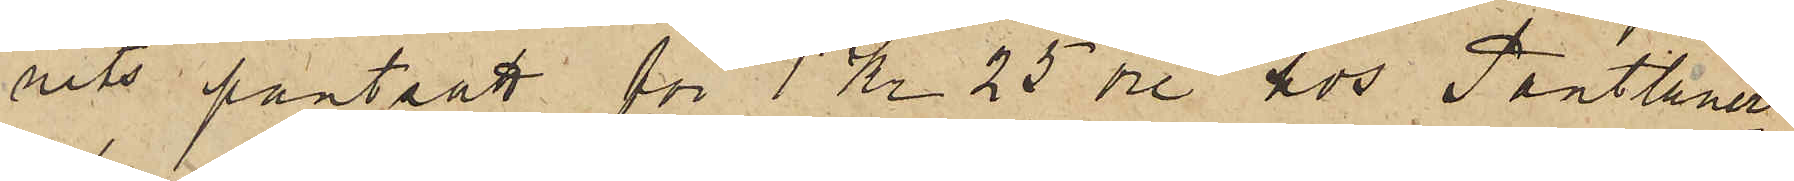nits pantsatt för 1 Kr 25 öre hos Pantlåner¬
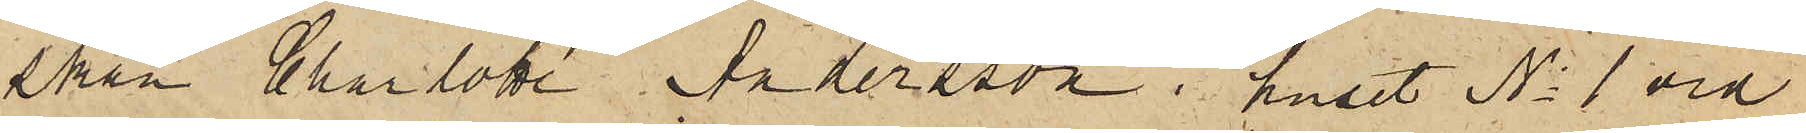skan Charlotta Andersson i huset No 1 vid
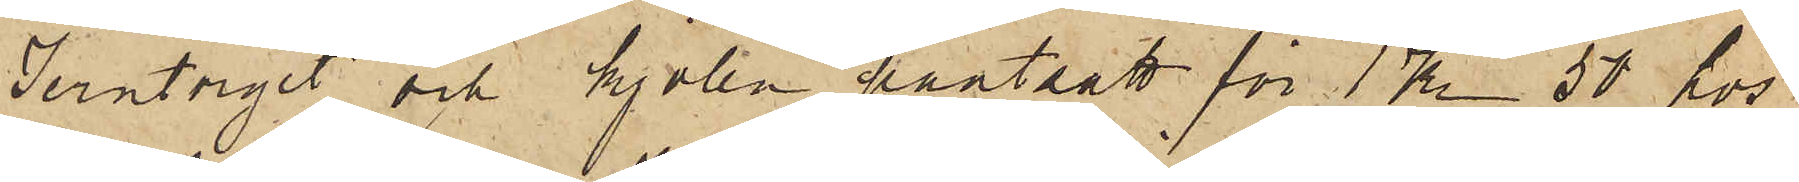Jerntorget och kjolen pantsatt för 1 Kr 50 hos
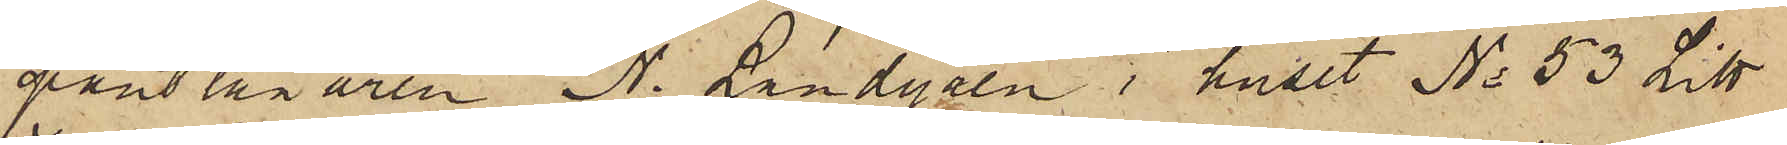pantlånaren N. Landgren i huset No 53 Litt
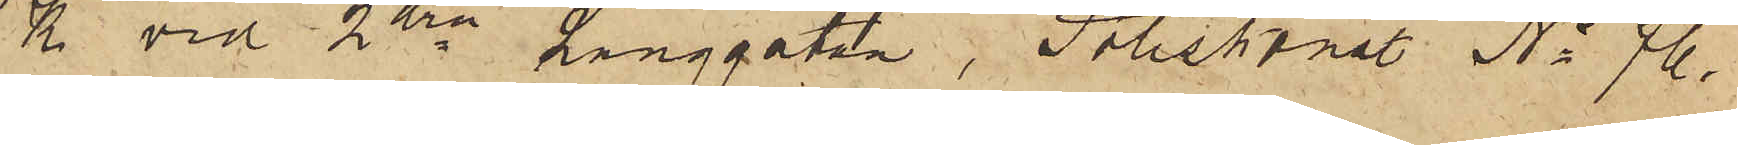K vid 2dra Långgatan,  Poliskonstl No 76.
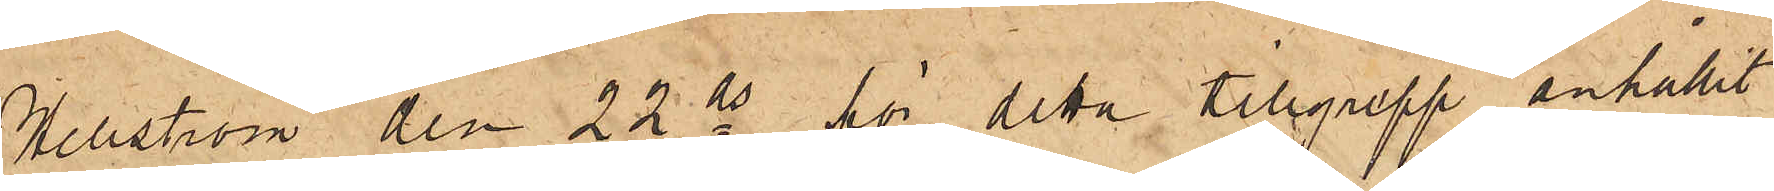Hellström den 22 ds för detta tillgrepp anhållit
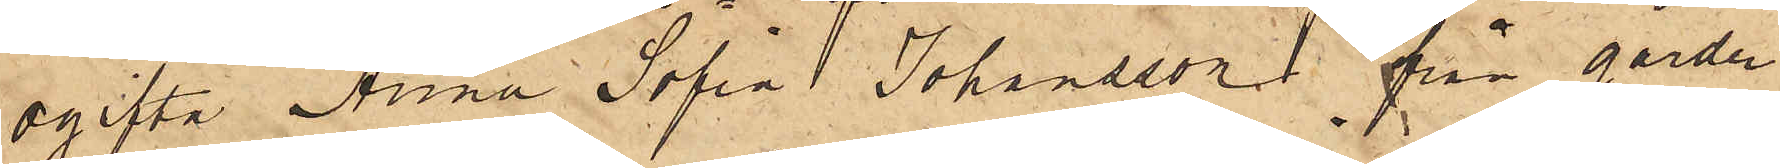ogifta Anna Sofia Johansson från gården
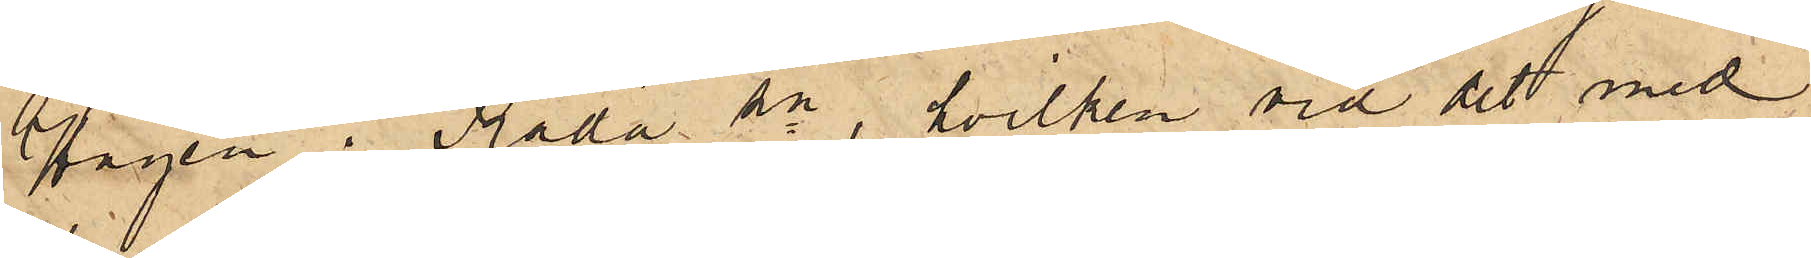Hagen i Råda sn, hvilken vid det med
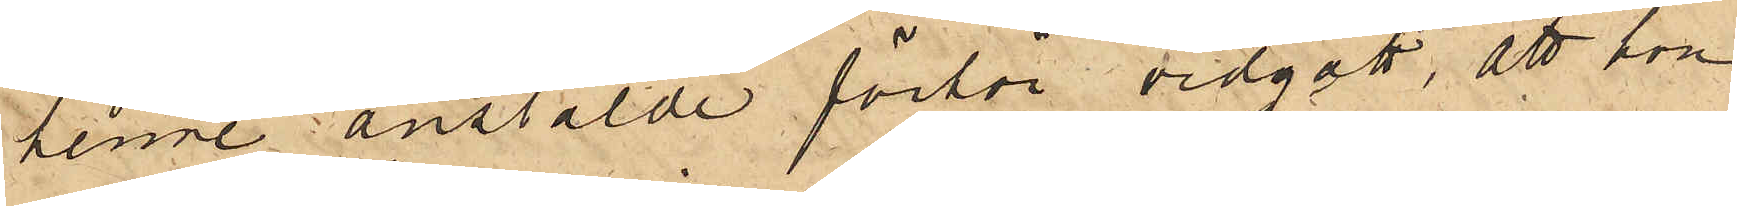henne anstälde förhör vidgått, att hon
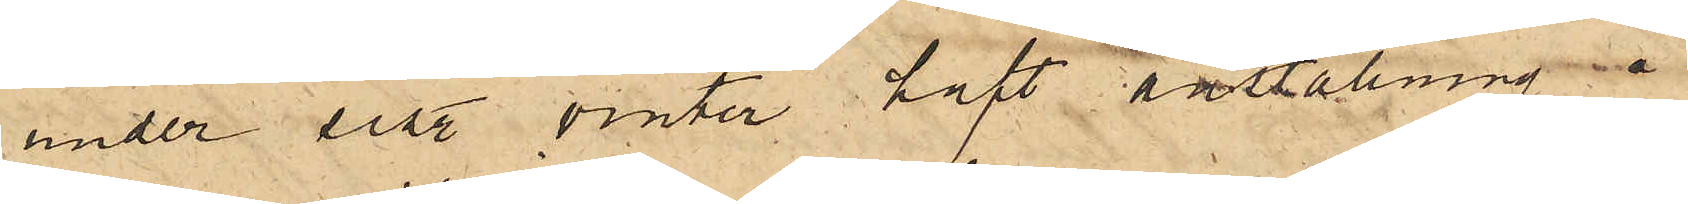under sist. vinter haft anstälning å
